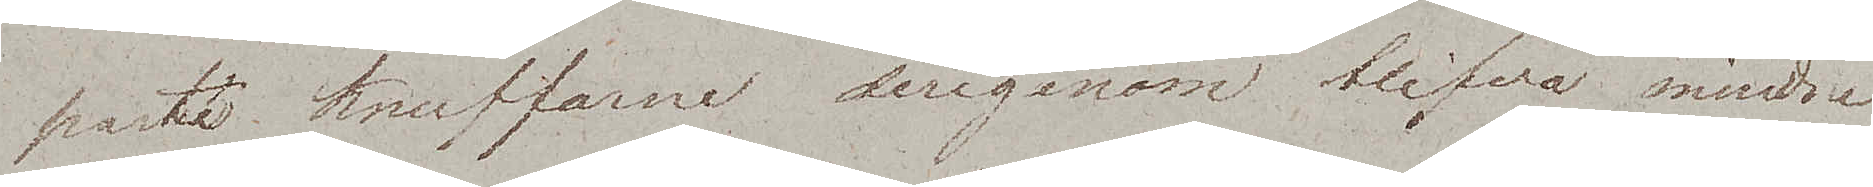paste knuffarne derigenom blifva mindre
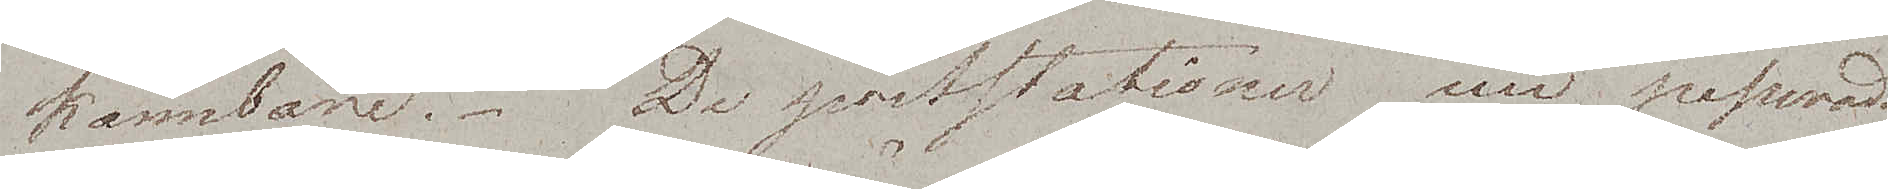kännbare. De poststationer wi passerade
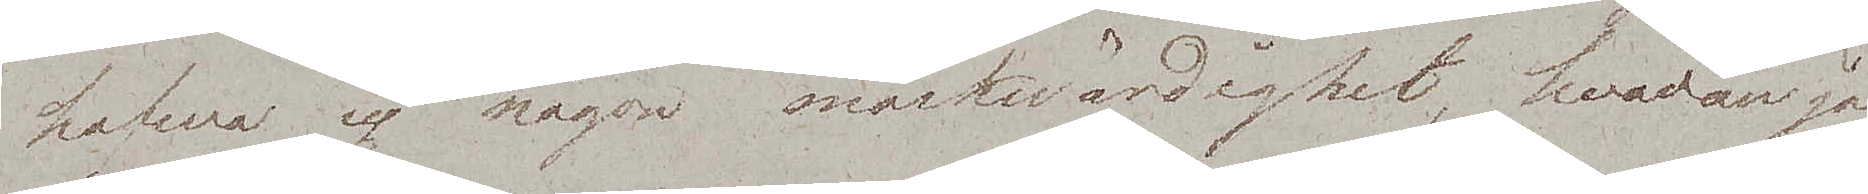hafwa ej någon märkwärdighet, hvadan jag
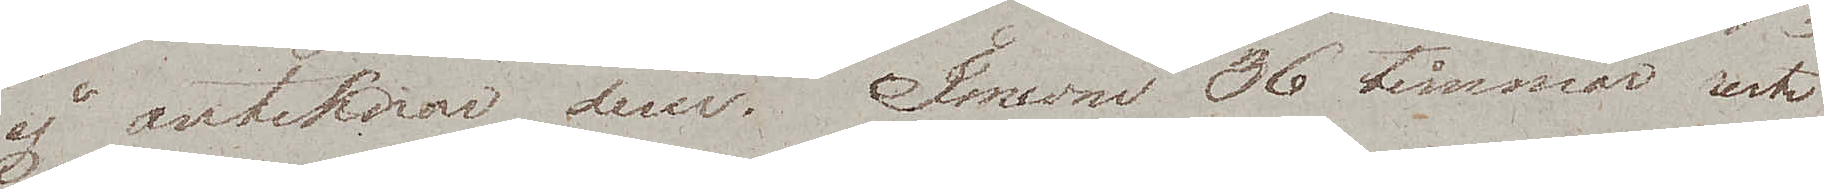ej anteknar dem. Innom 36 timmar reste
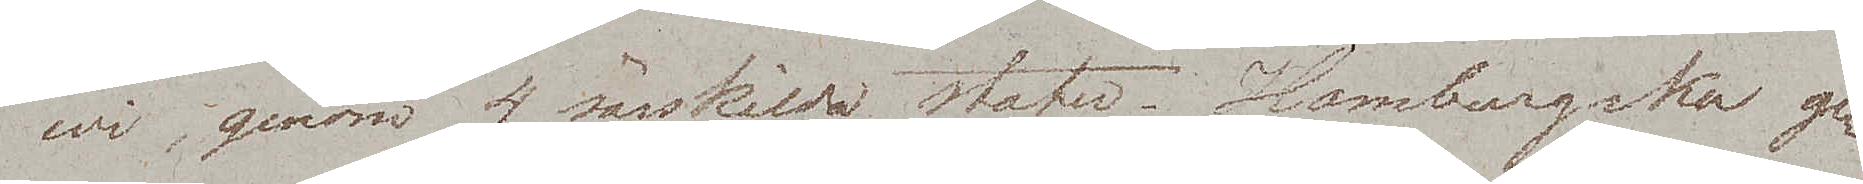wi genom 4 särskilda stater. Hamburgska ge¬
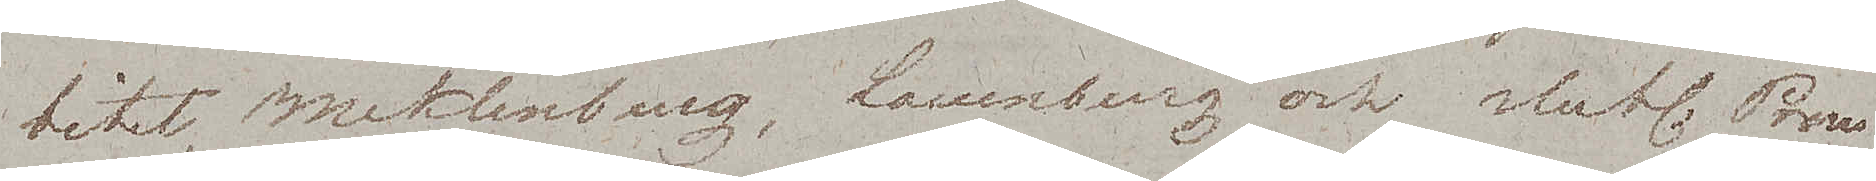bitet, Meklenburg, Lauenburg och slutl. Preu¬
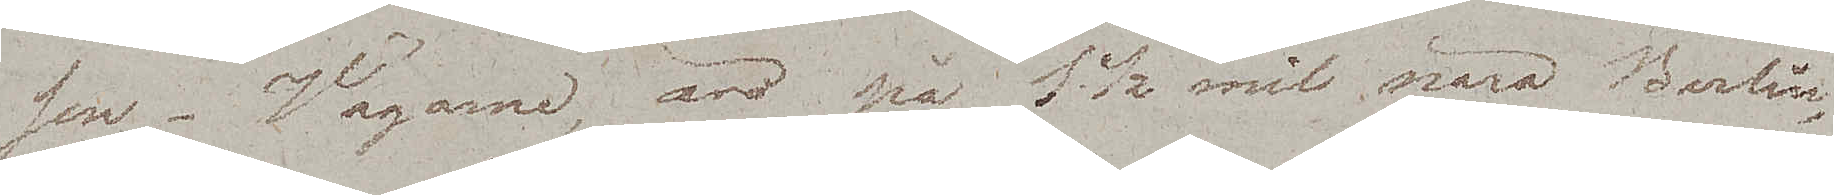ssen. Vägarne, äro på 1½ mil nära Berlin
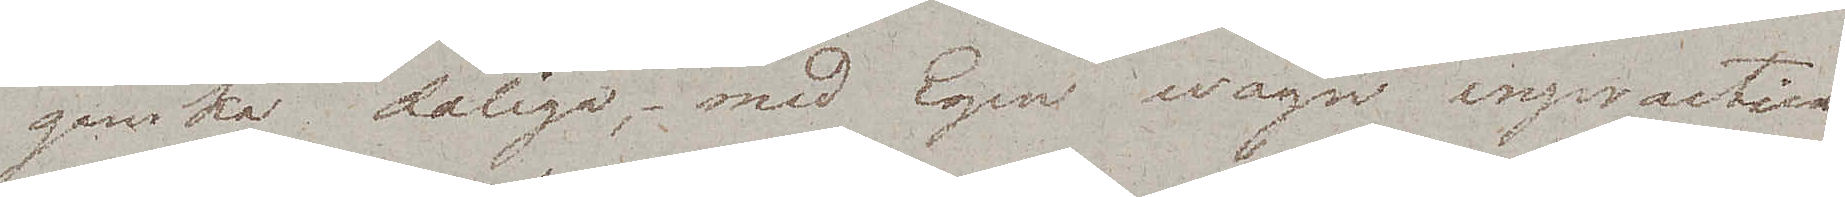ganska dåliga, med Egen wagn inpractica¬
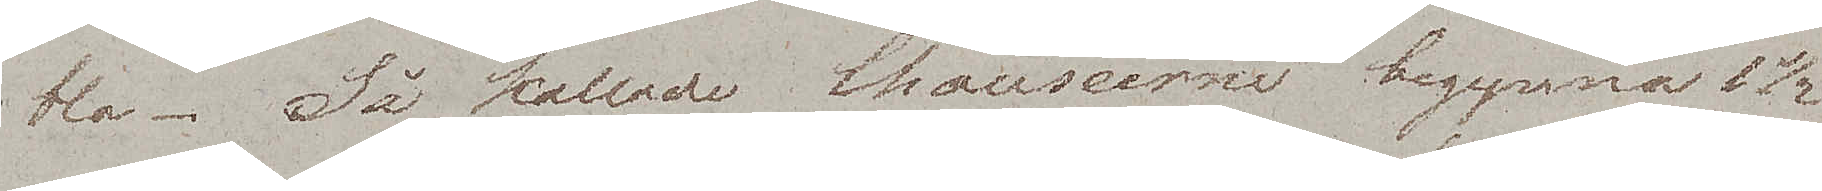bla. Så kallade Chausseer begynna 1½
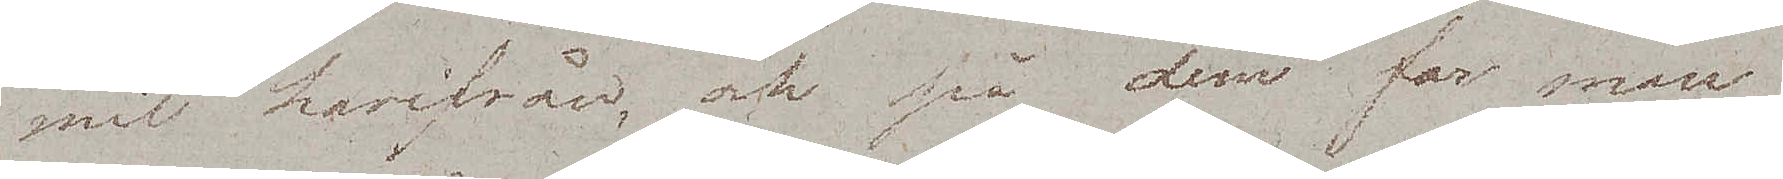mil herifrån, och på dem far man
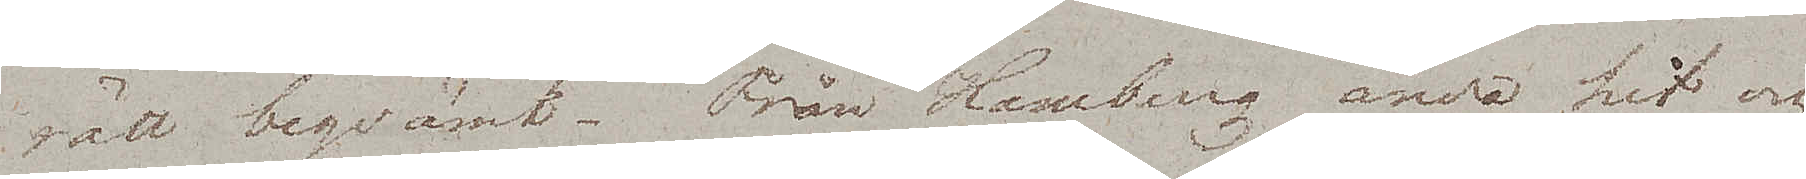rätt beqvämt. Från Hamburg ända hit och
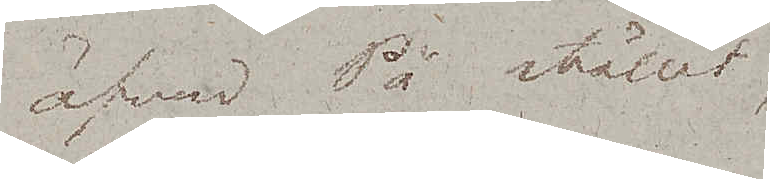äfven På stället
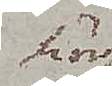här
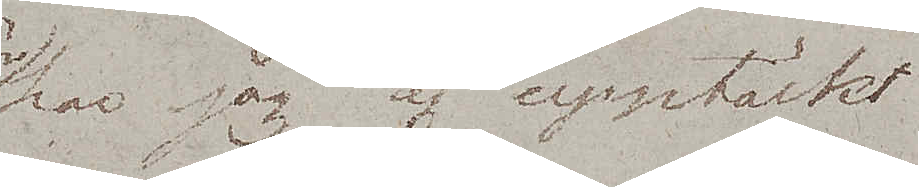har jag ej upptäckt
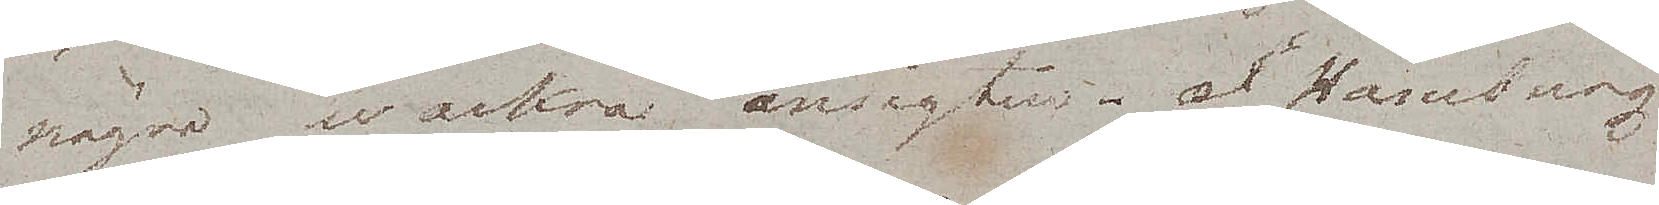några wackra ansigten. I Hamburg
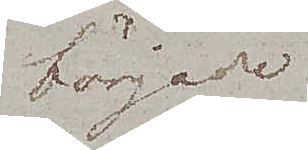började
